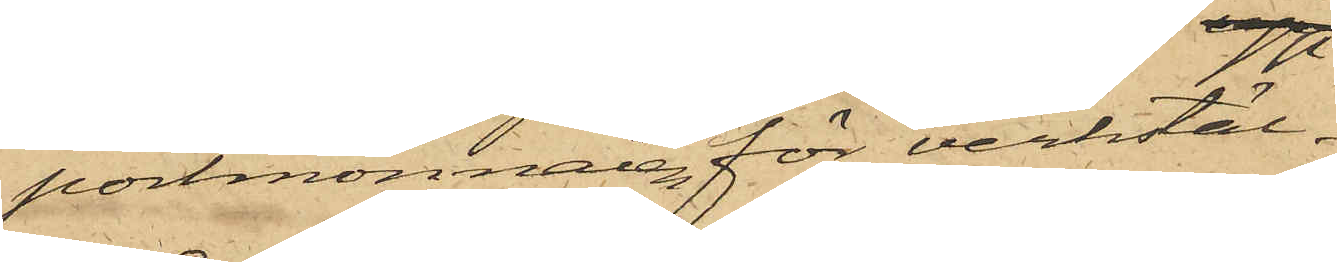portmonnaien för verkstäl¬
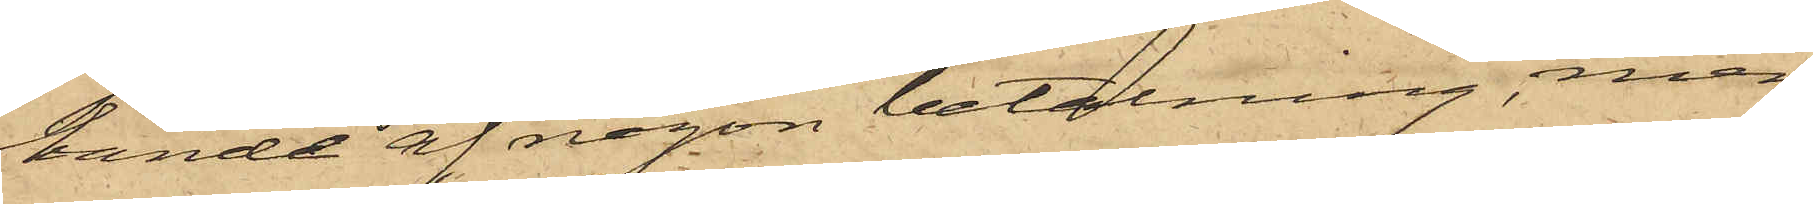lande af någon betalning, men
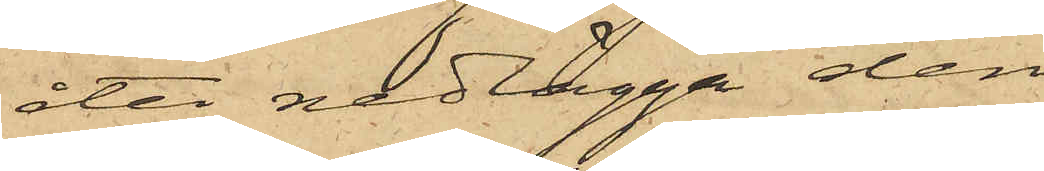åter nedlägga den
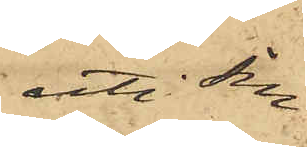uti sin
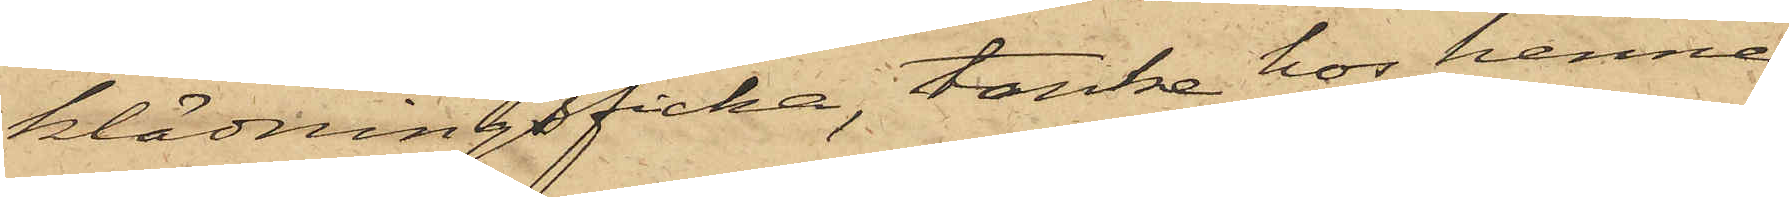klädningsficka, tanke hos henne
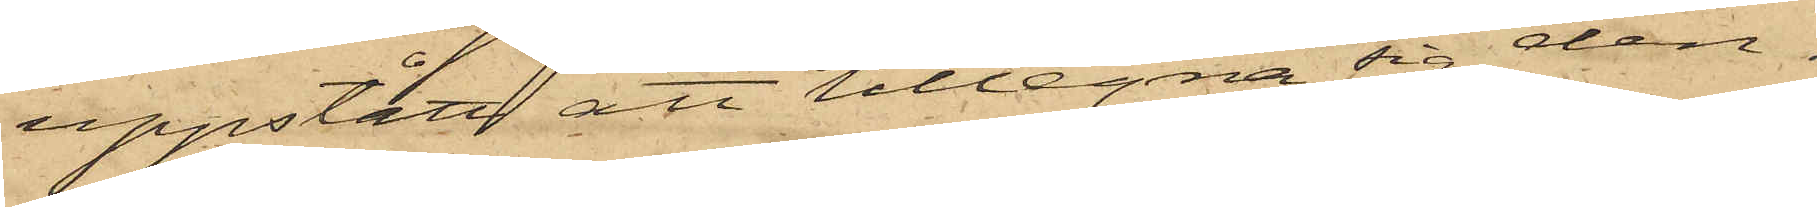uppstått att tillegna sig den¬
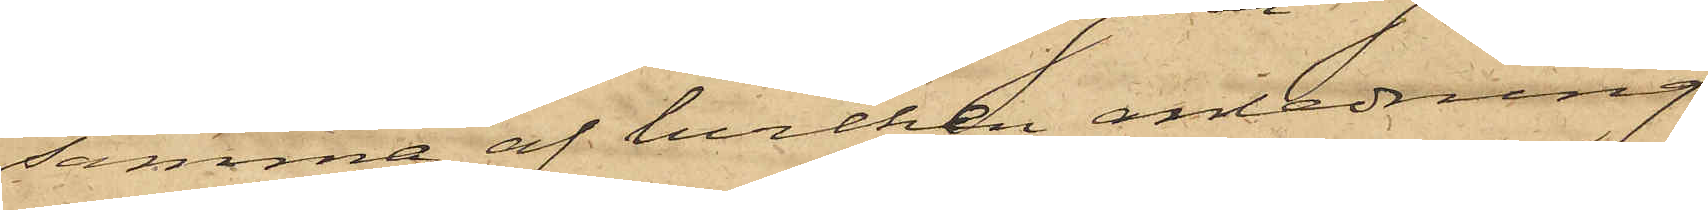samma, af hvilken anledning
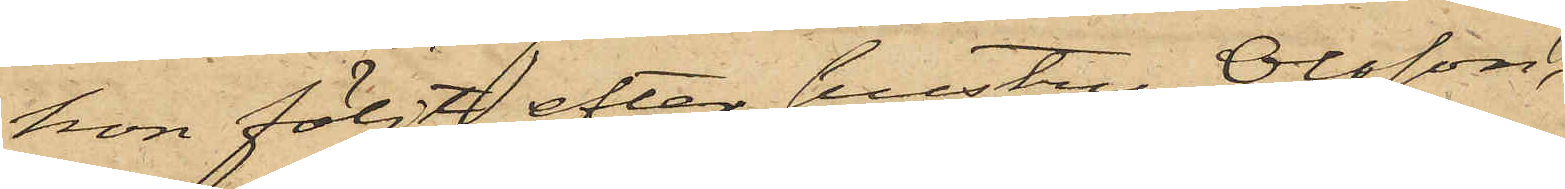hon följt efter hustru Olsson,
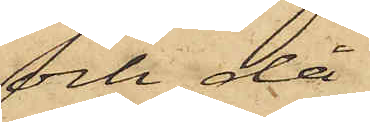och, då
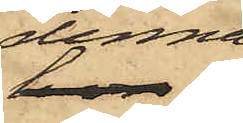denna
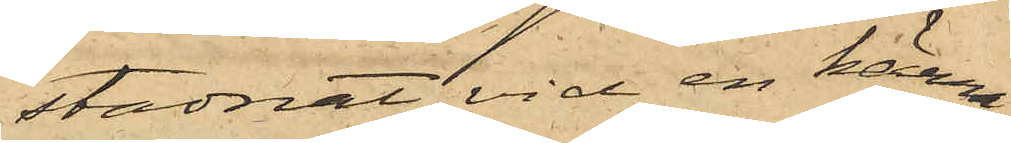stadnat vid en kärra,
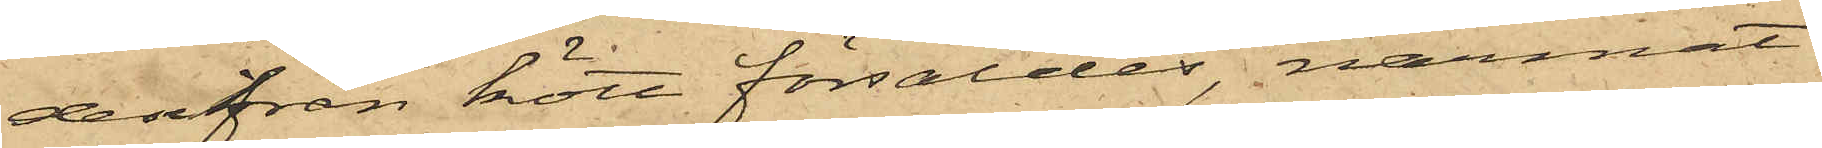derifrån kött försåldes, närmat
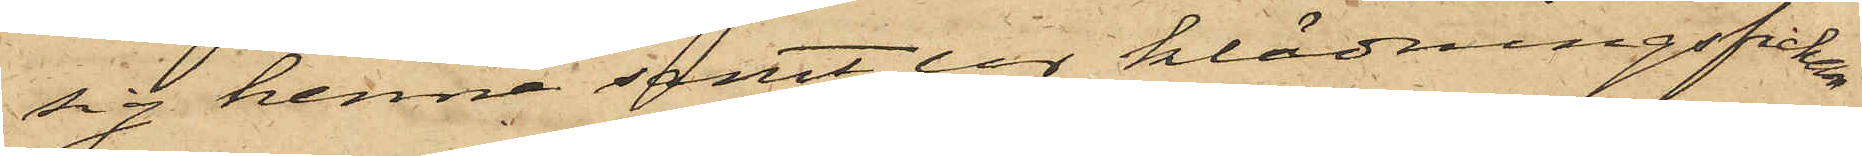sig henne samt ur klädningsfickan
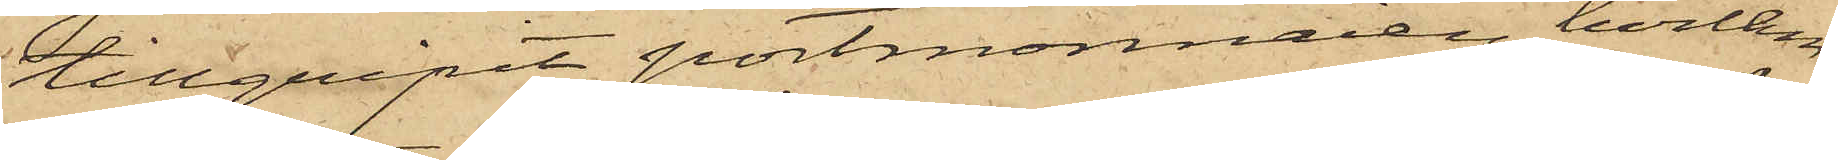tillgripit portmonnaien, hvilken
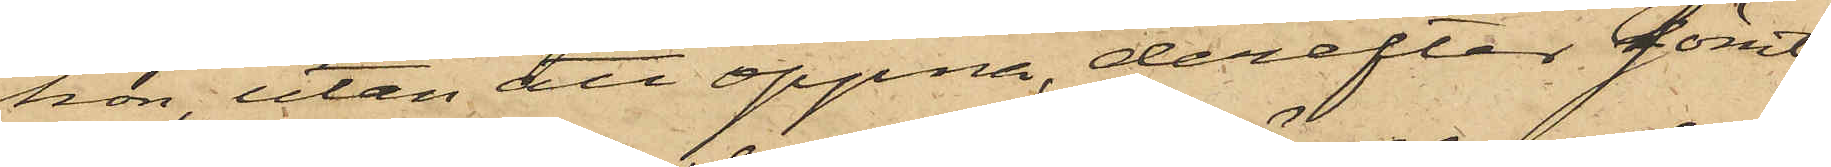hon, utan att öppna, derefter gömt
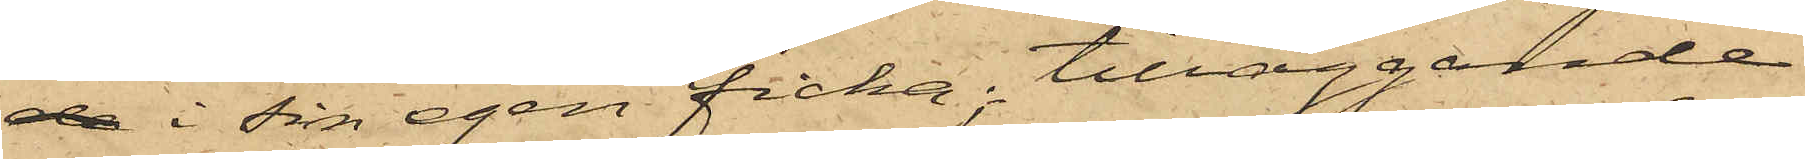de i sin egen ficka, tilläggande
